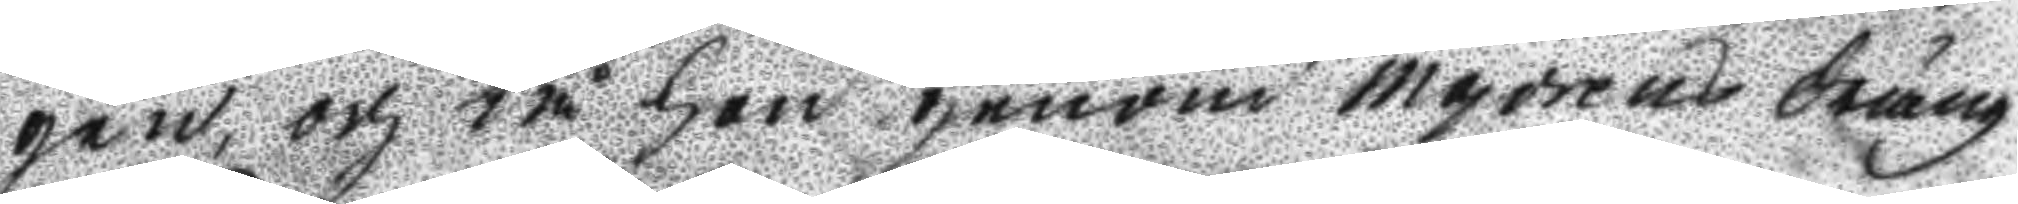gen, och tå hon genom Majorens dräng
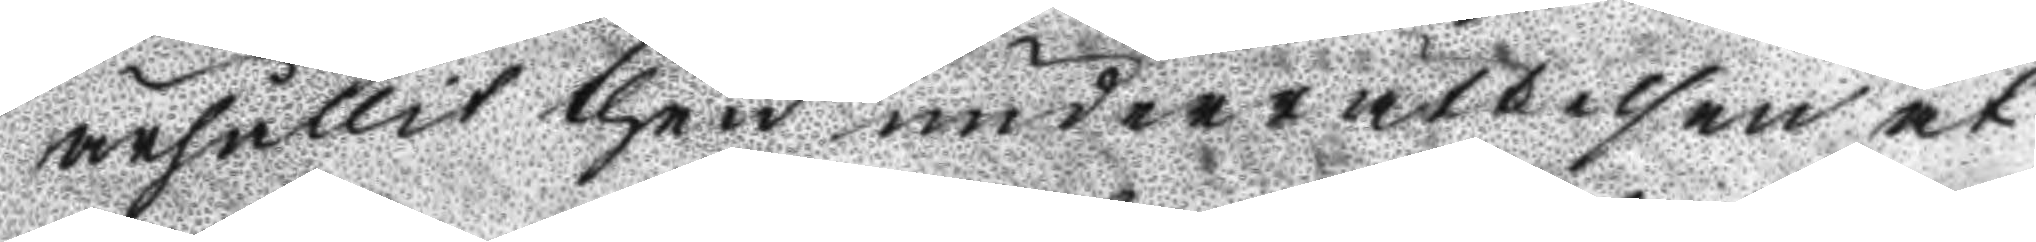ärhållit then underrättelsen at 
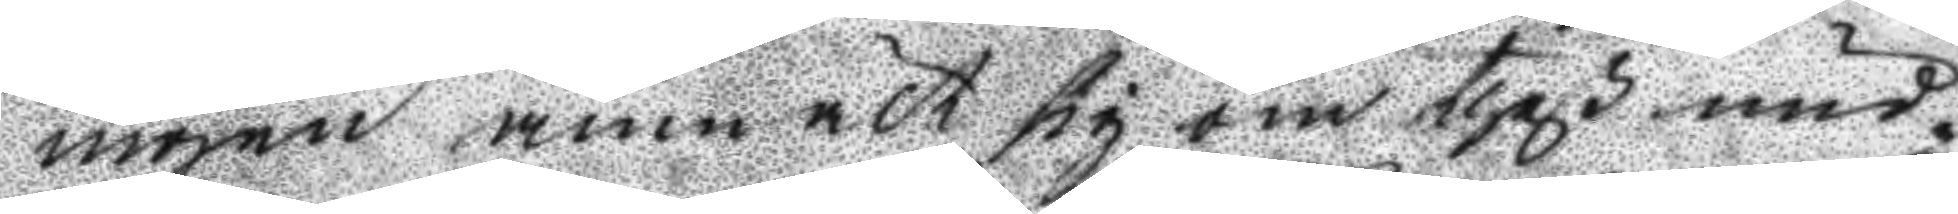ingen anmält sig om theß und¬
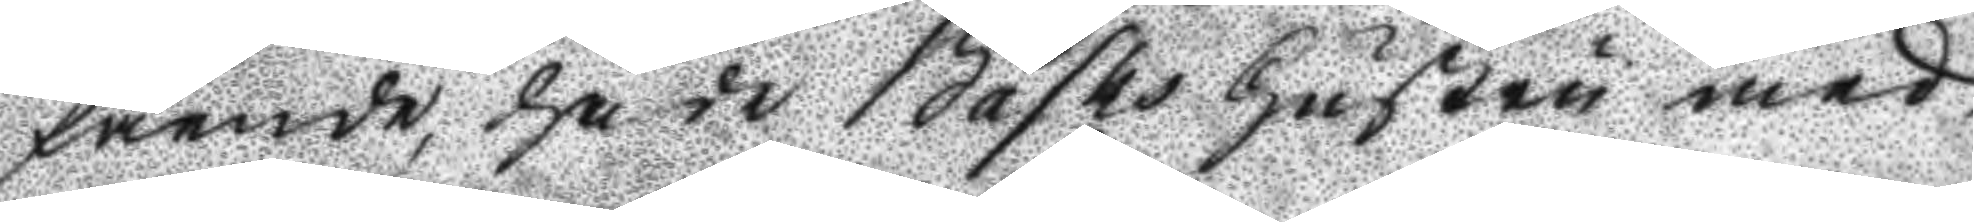fående, hade Basks hustru med
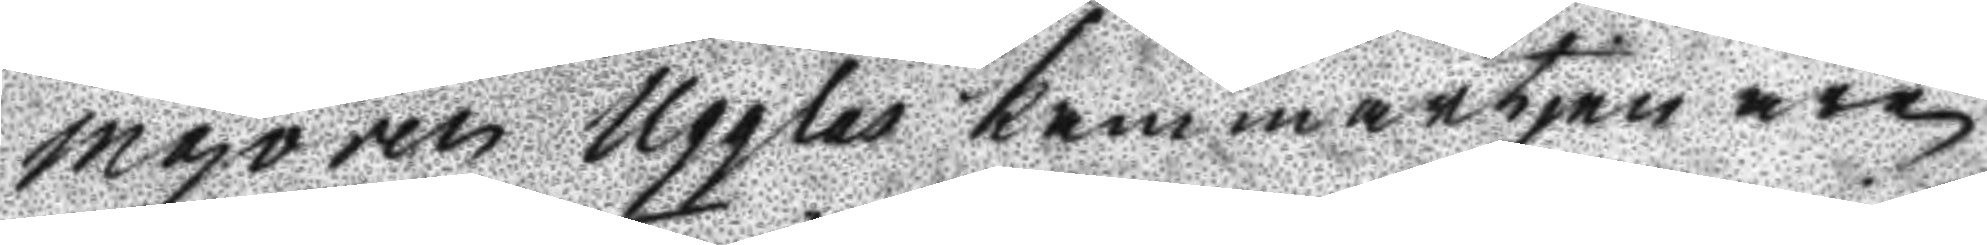majoren Ugglas kammartjenare
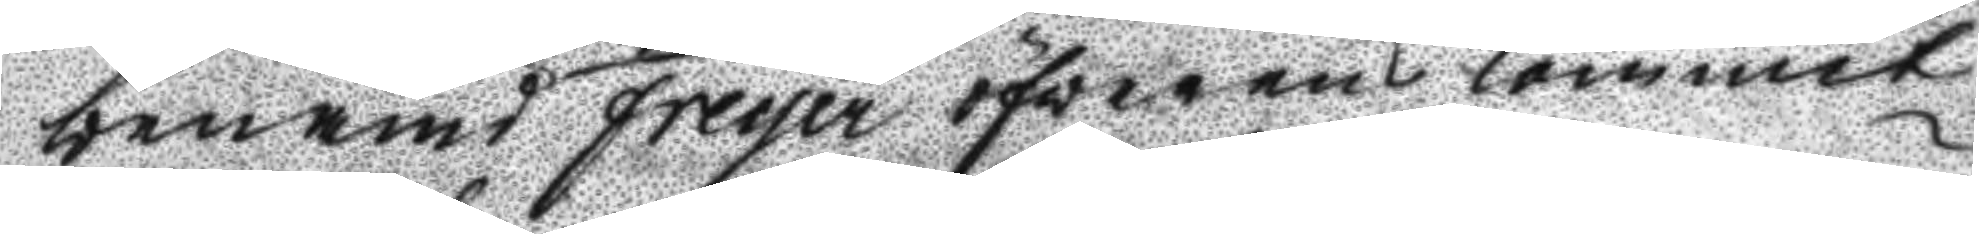benämd Freyer öfverenskommit
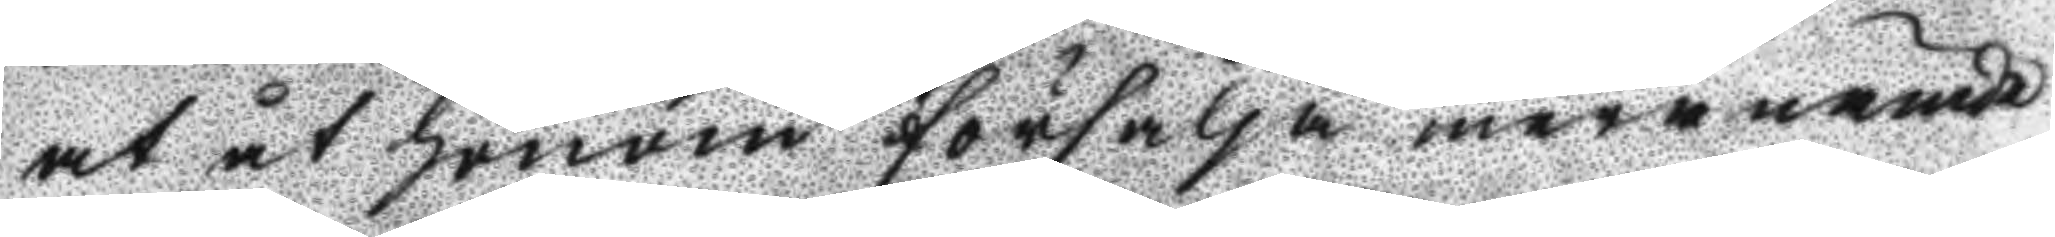at åt honom försälja meranämde
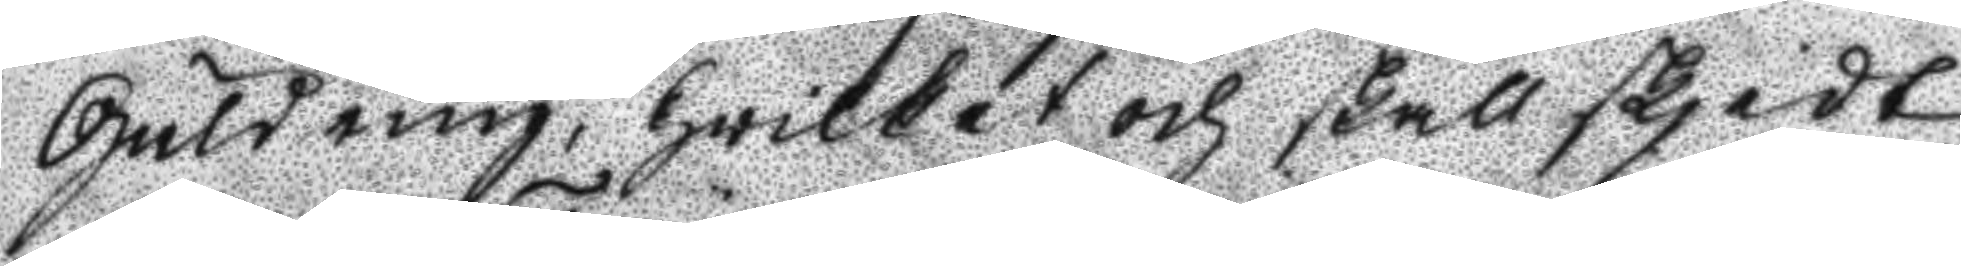Guldring, hwilket och skall skjedt
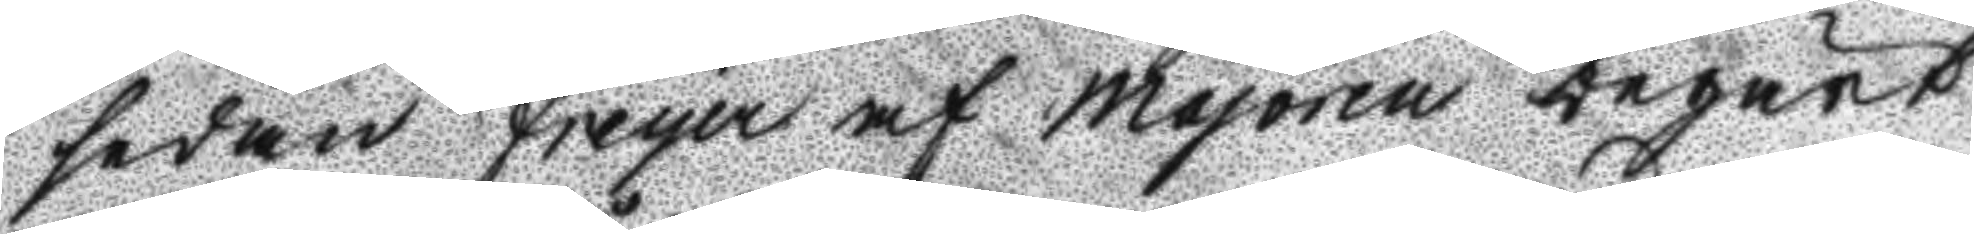sedan Freyer af majoren begärt
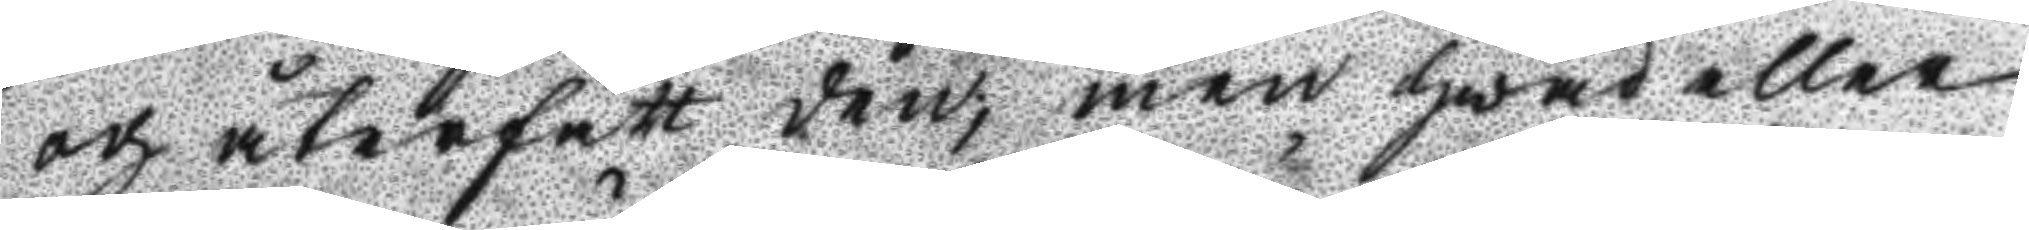och återfått den; men hwad eller
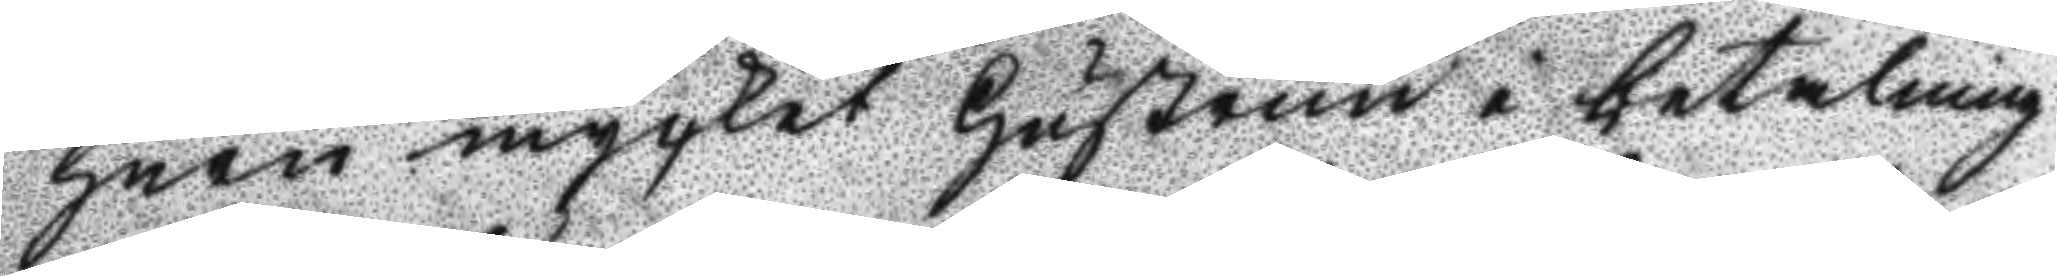huru mycket hustrun i betalning
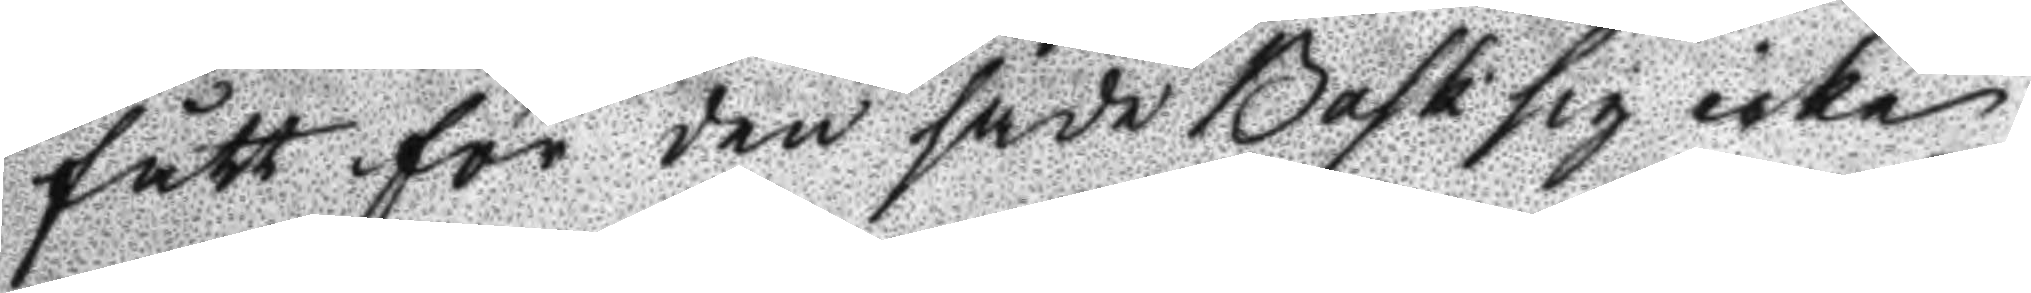fått för den sade Bask sig icke
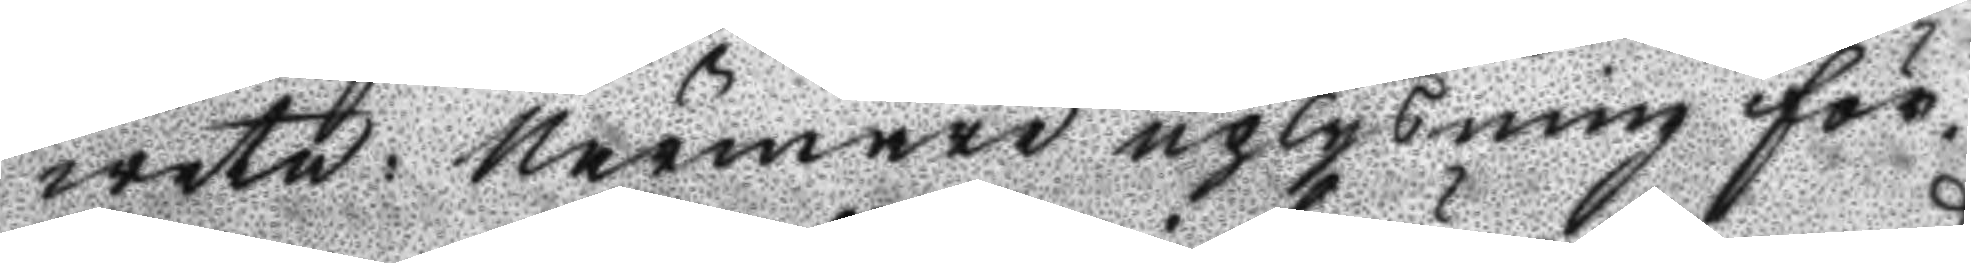weta: Närmare uplysning för¬
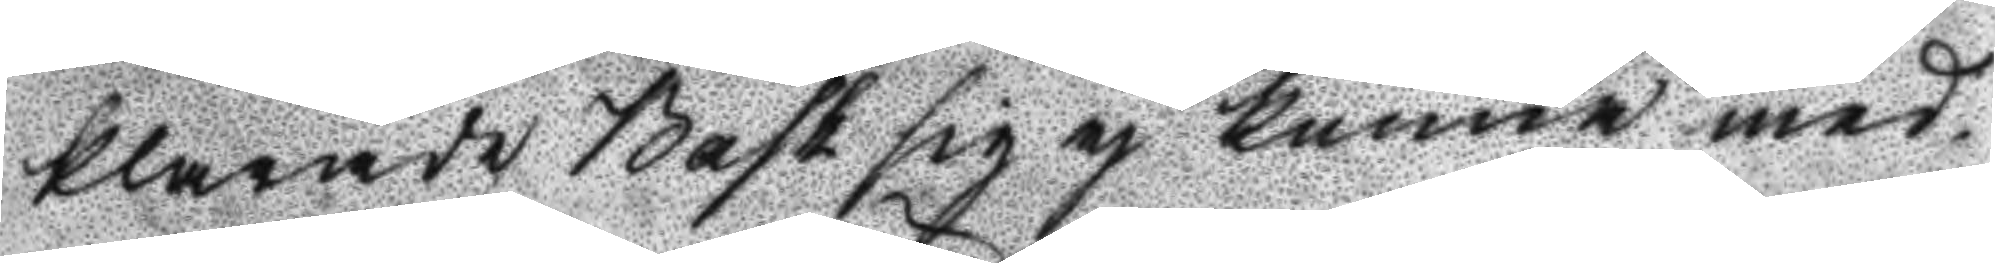klarade Bask sig ej kunna med¬
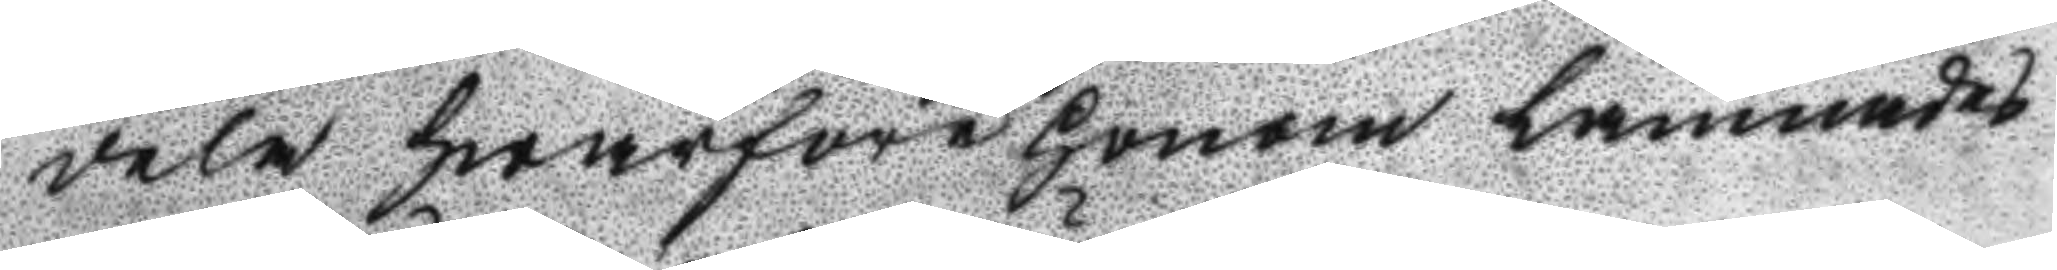dela hwarföre honom lämnades
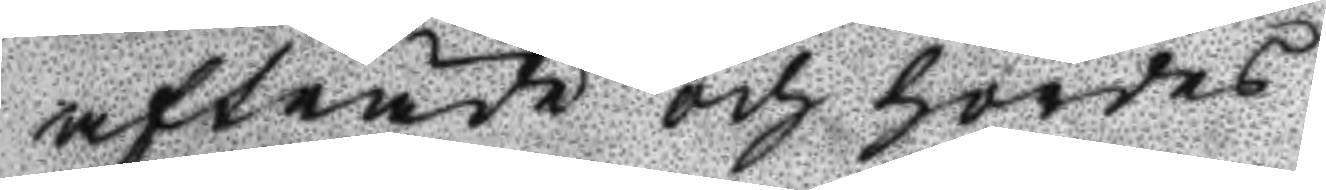afträde och hördes
